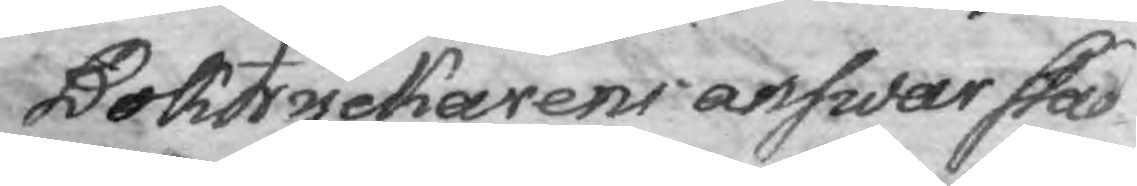Boktryckarens answar stad¬
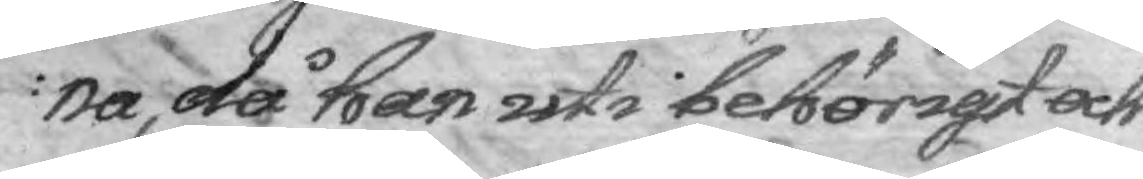na, då han uti behörigt och
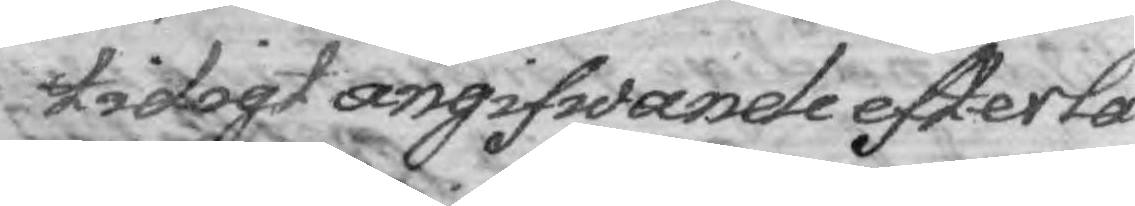tidigt angifwande efterlå¬
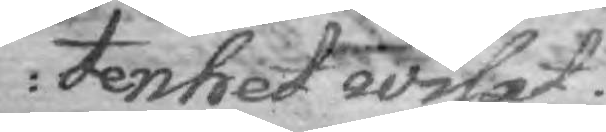tenhet wisat.
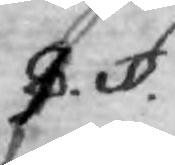9.§.
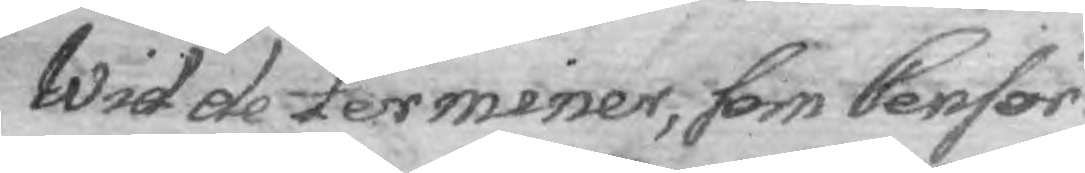Wid de terminer, som Censor
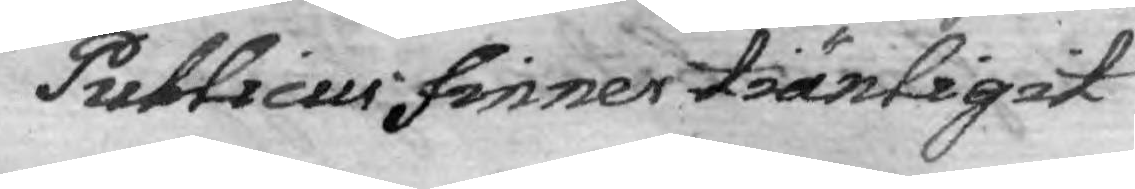Publicus finner tiänligit
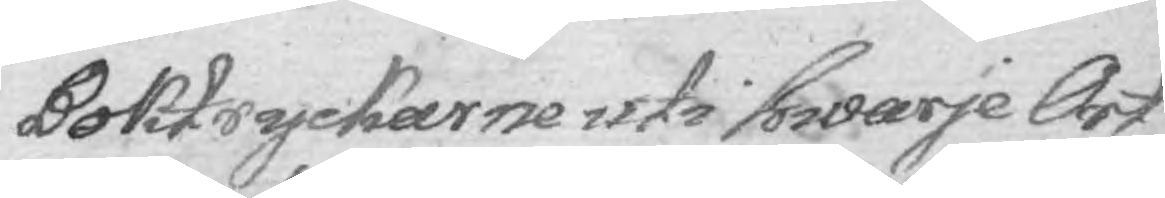Boktryckarne uti hwarje Ort
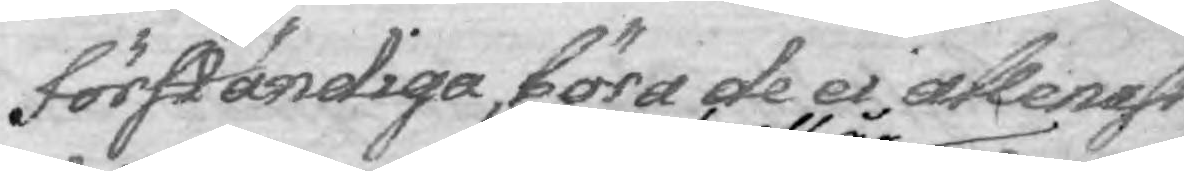förständiga, böra de ei allenast
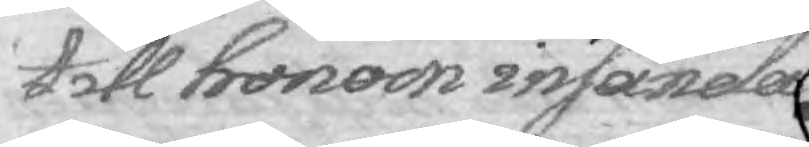till honom insända
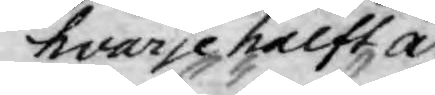hvarje halft år
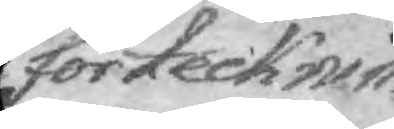förtecknin¬
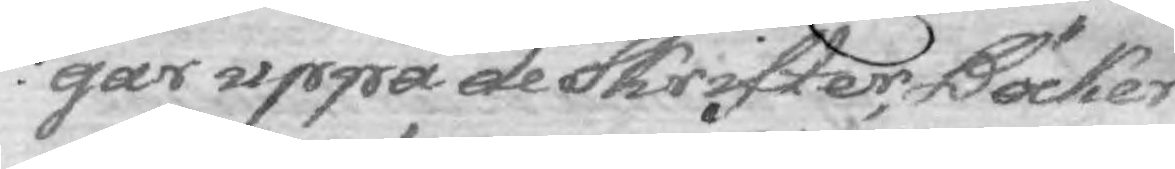gar uppå de Skrifter, Böcker
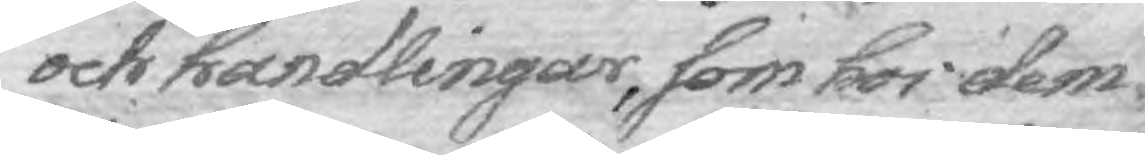och handlingar, som hos dem
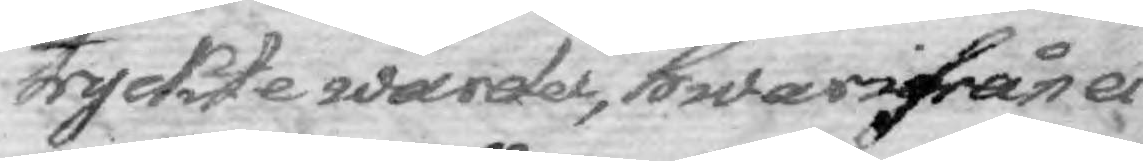tryckte warder, hwarifrån ei
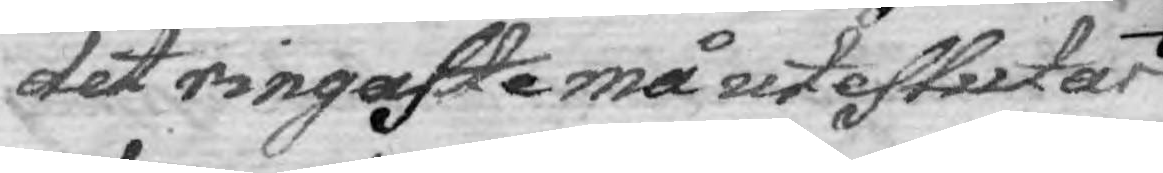det ringaste må uteslutas
